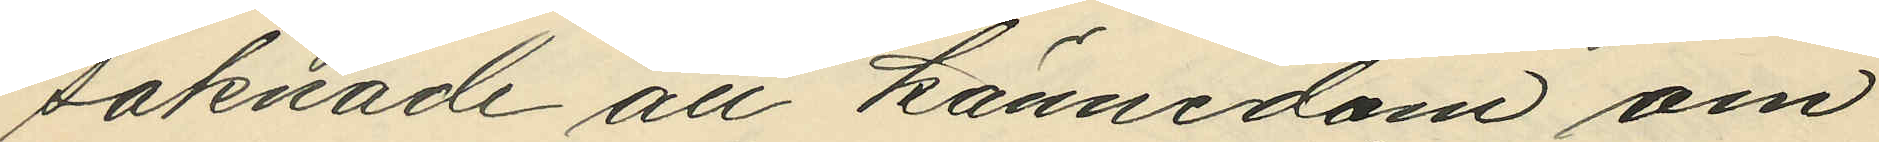saknade all kännedom om
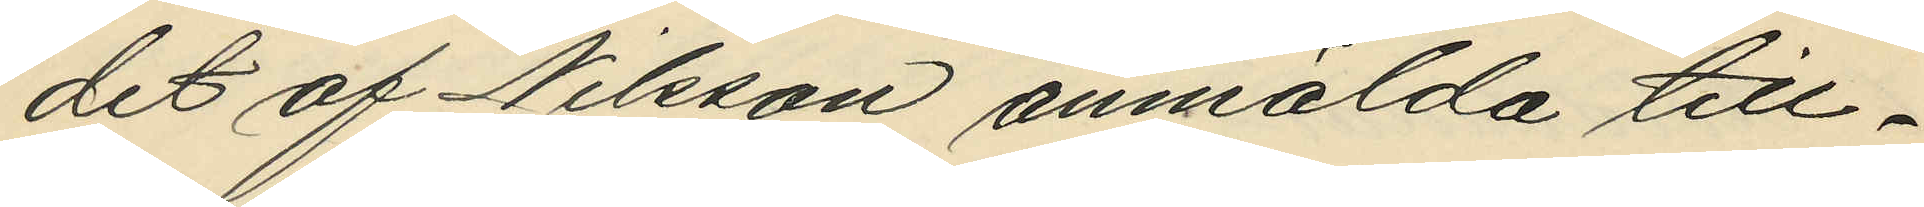det af Nilsson anmälda till¬
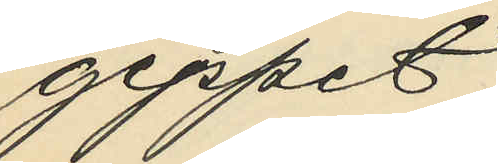geppet;
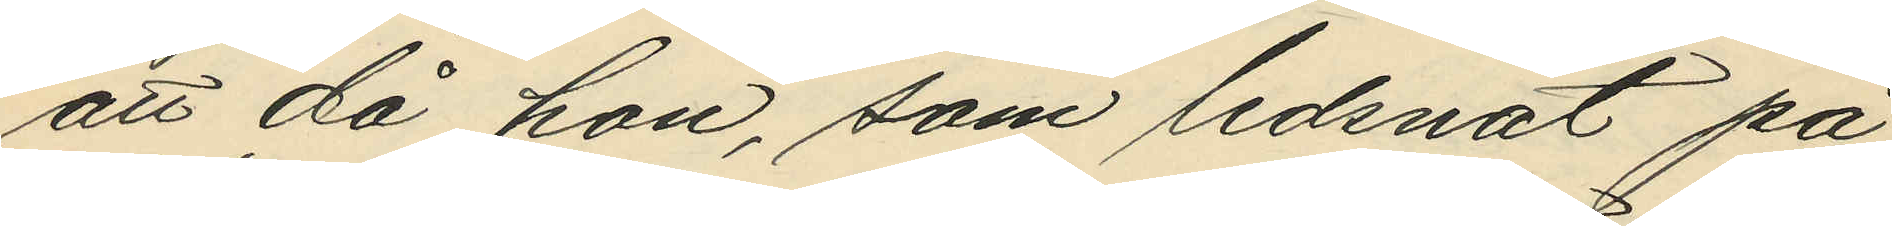att då hon, som ledsnat på
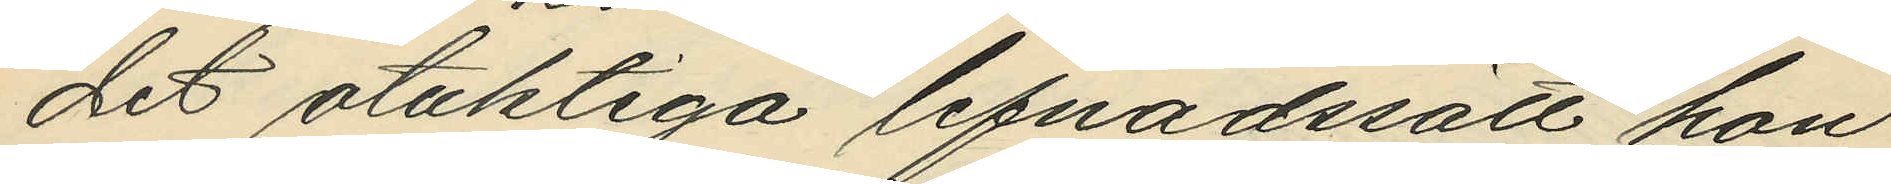det otuktiga lefnadssätt hon
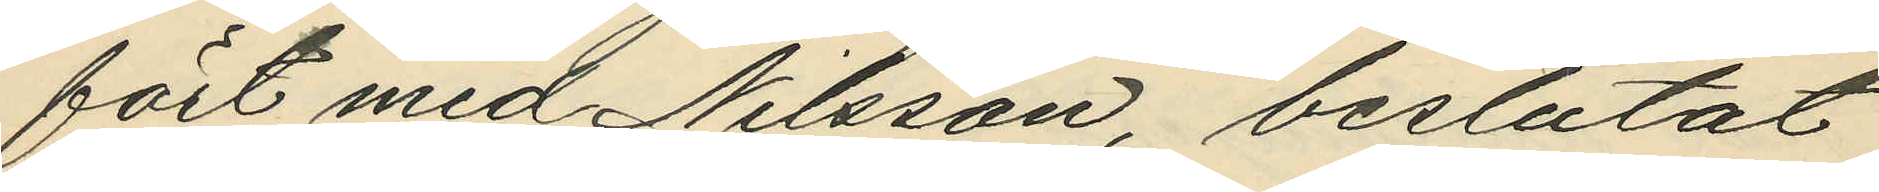fört med Nilsson, beslutat
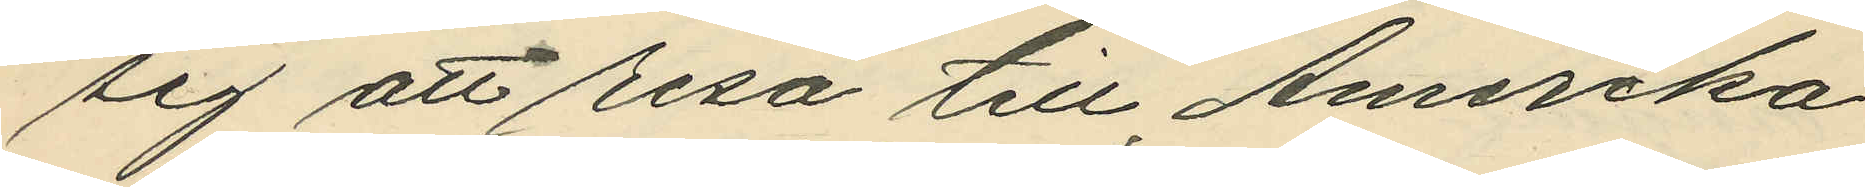sig att resa till Amerika
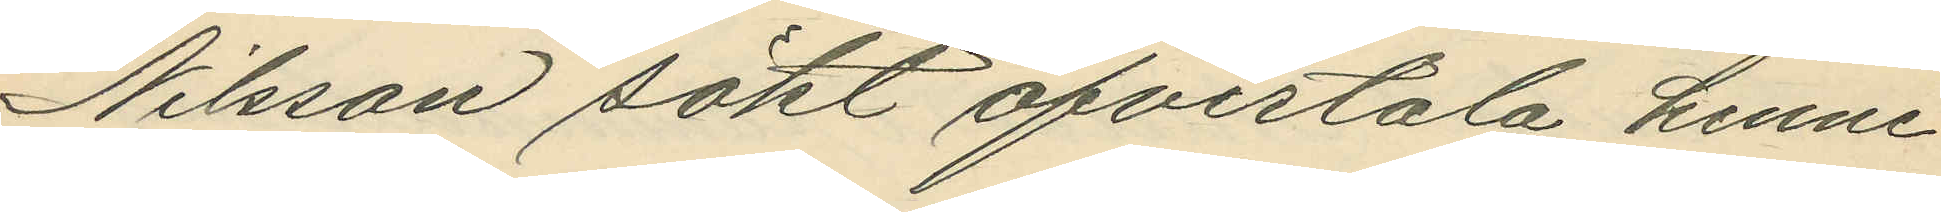Nilsson sökt öfvertala henne
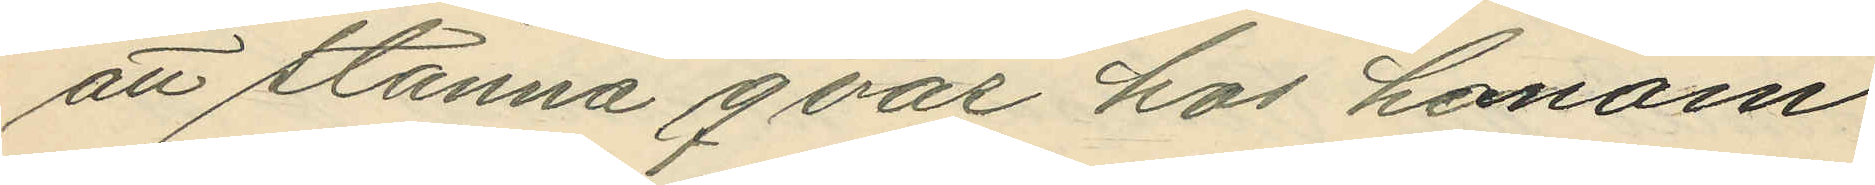att stanna qvar hos honom
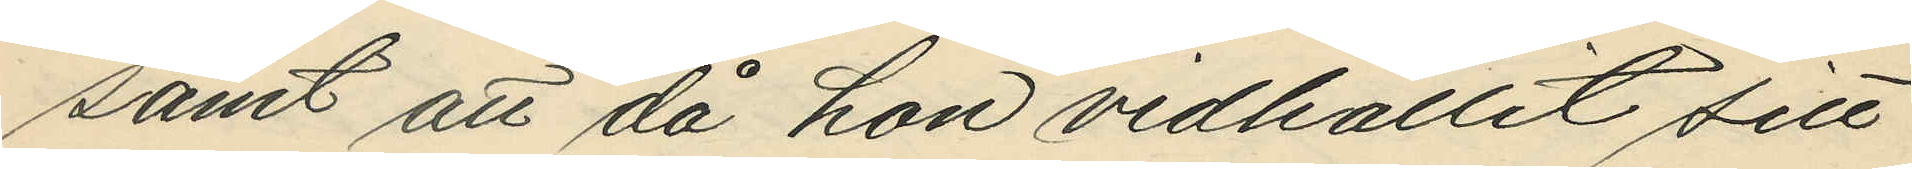samt att då hon vidhållit sitt
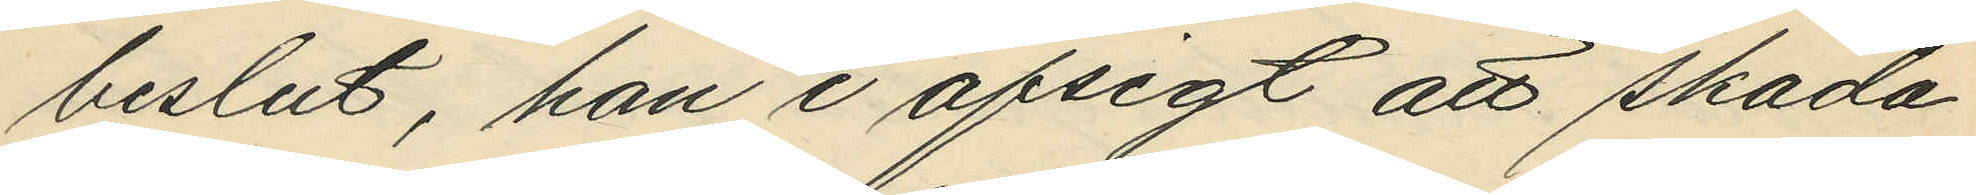beslut, han i afsigt att skada
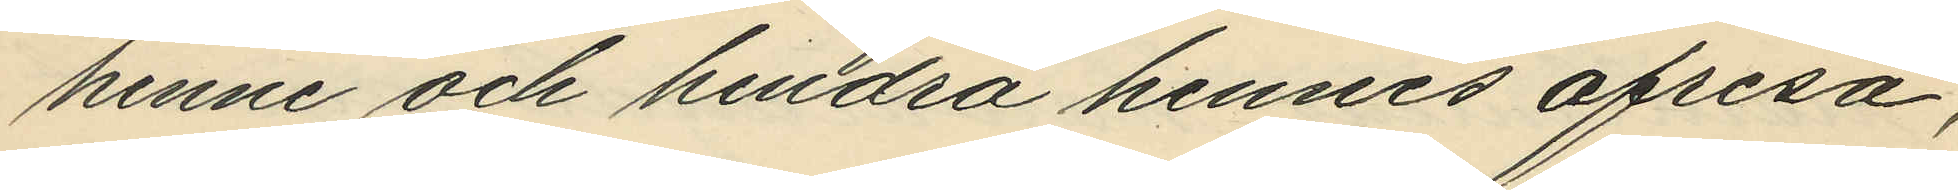henne och hindra hennes afresa,
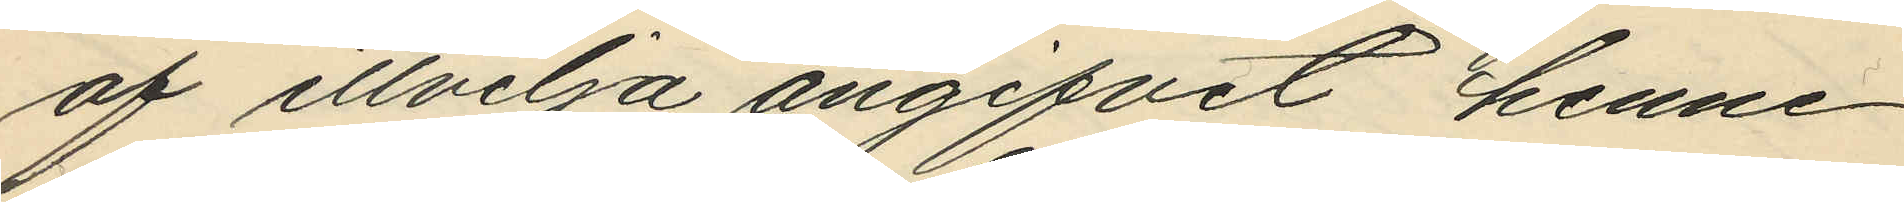af illvilja angifvit henne
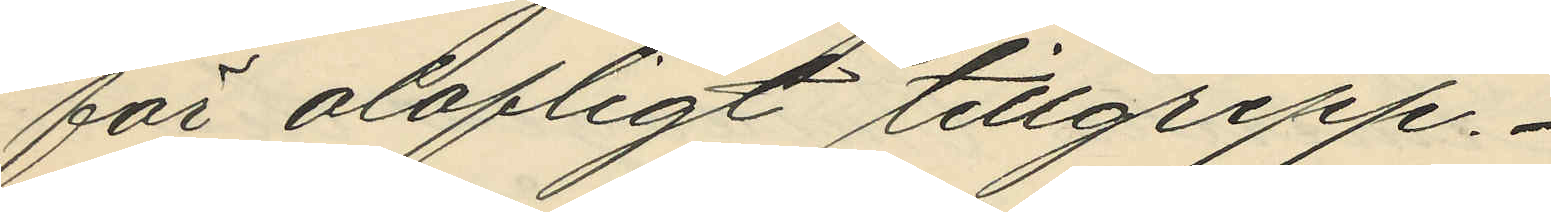för olofligt tillgrepp.
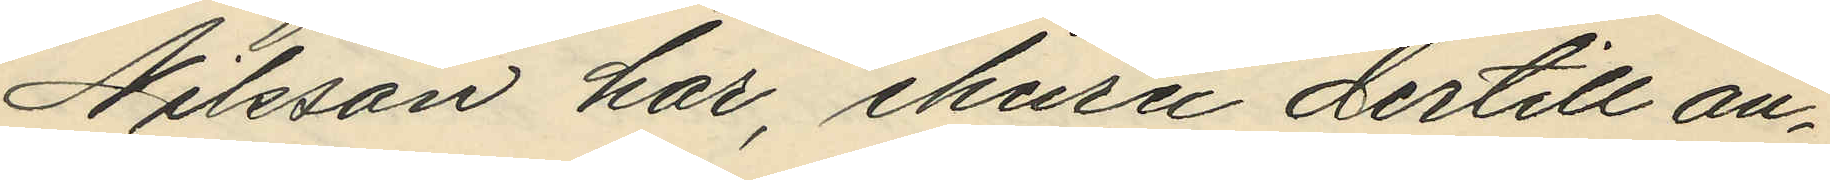Nilsson har, ehuru dertill an¬
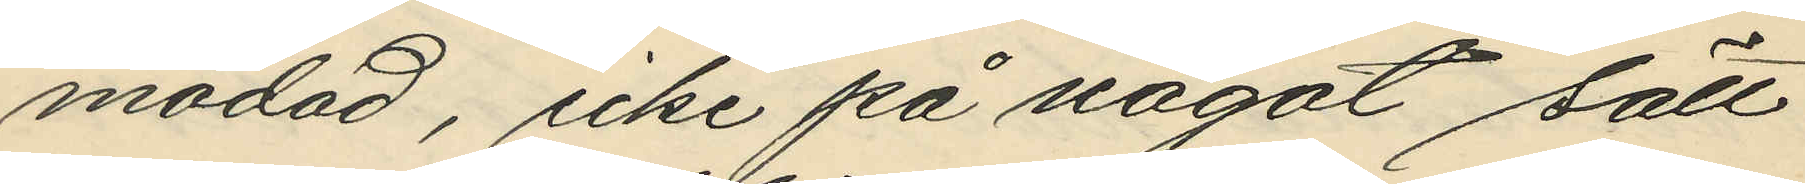modad, icke på något sätt
